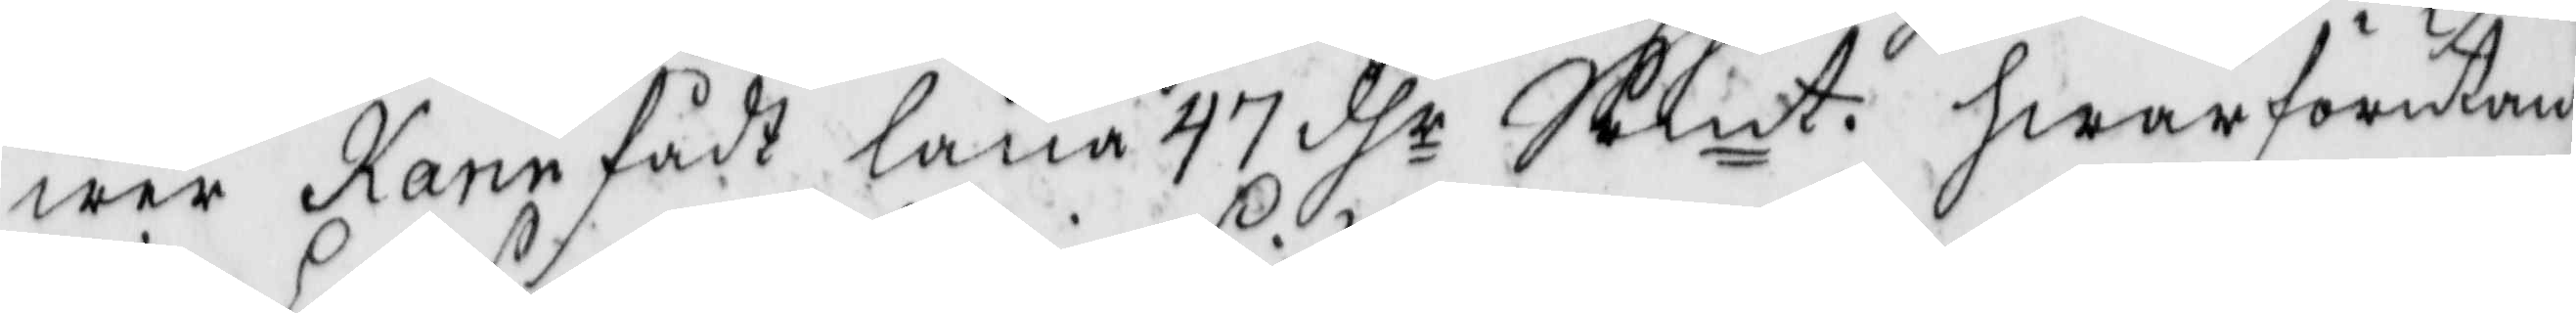wer karin fådt låna 47 dhr Smt. hwarförutan
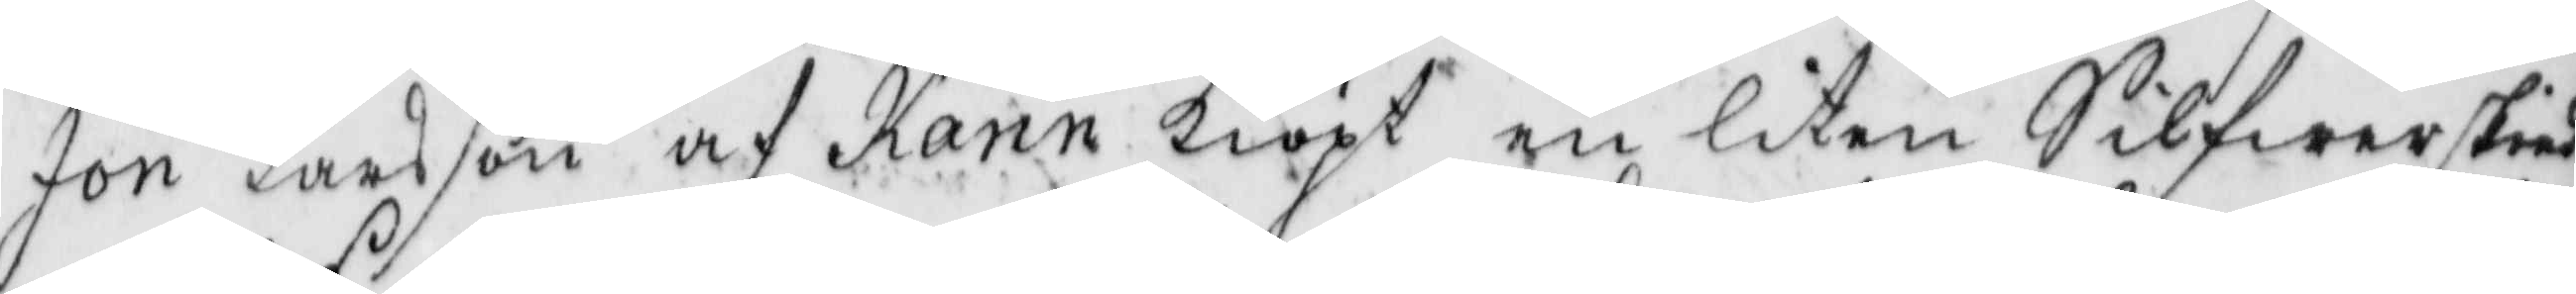Jon Larsson af Karin kiöpt en liten Silfwerskied
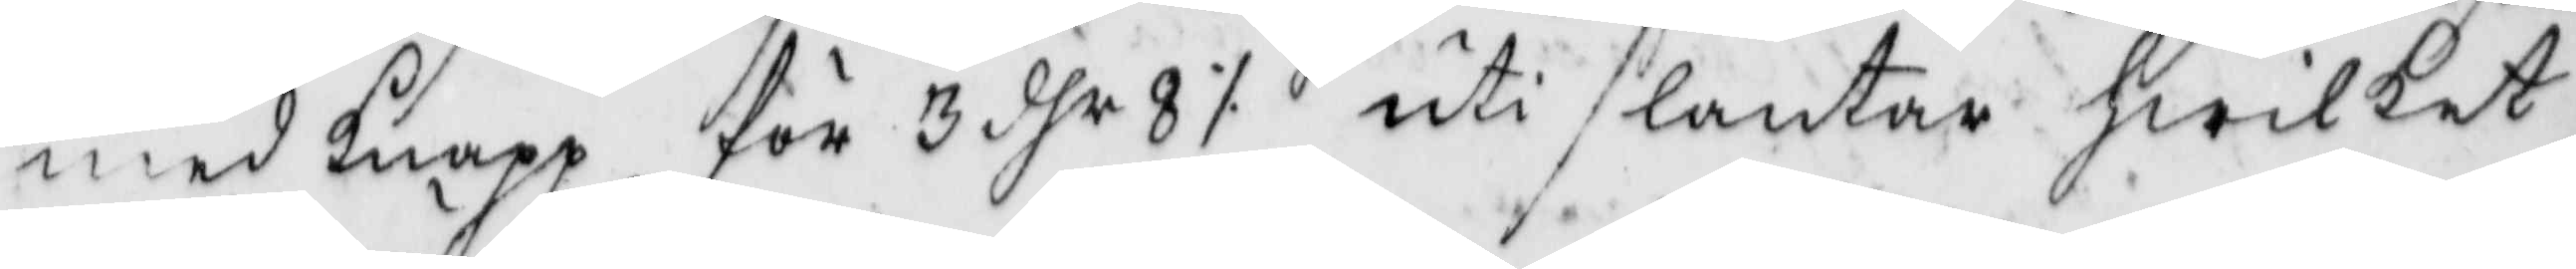men knapp för 3 dhr 8 ./. uti slantar hwilket
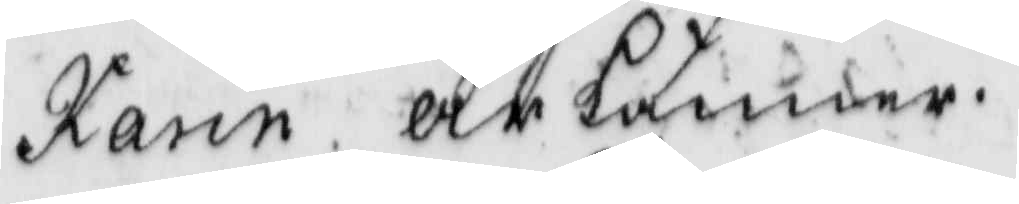Karin ärkänner.
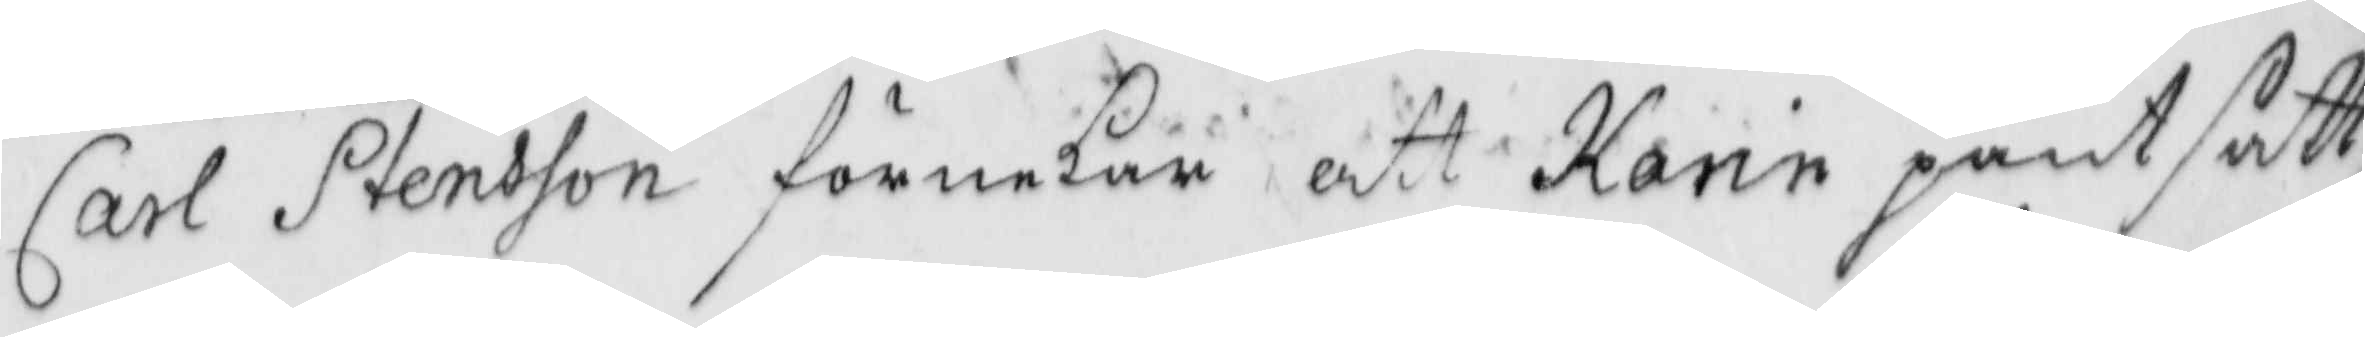Carl Stensson förnekar att Karin pantsatt
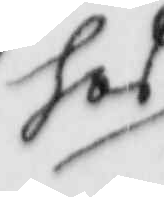hos
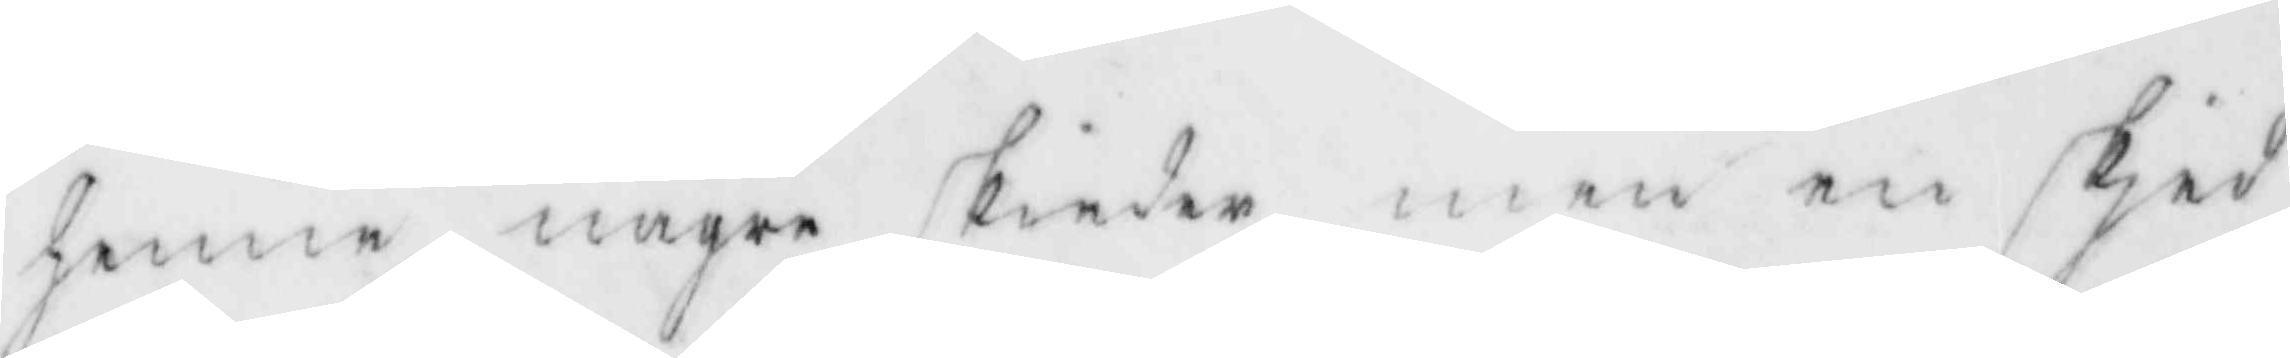henne någre skiedar, men en skied
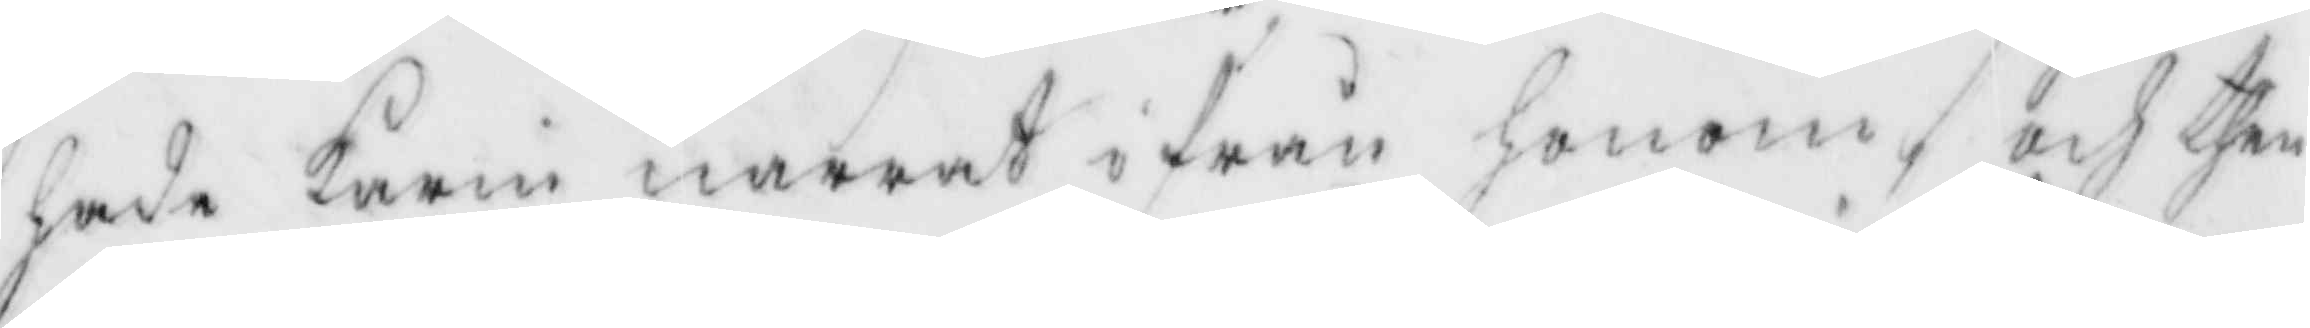hade Karin narrat ifrån honom, och then
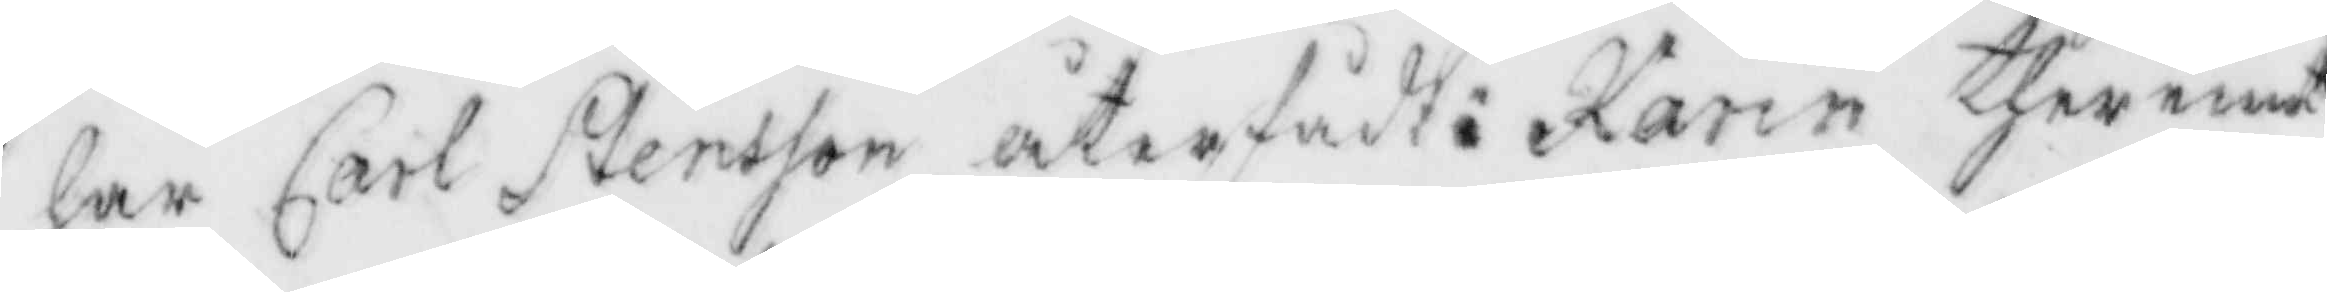har Carl Stensson återfpdt: Karin ther emot
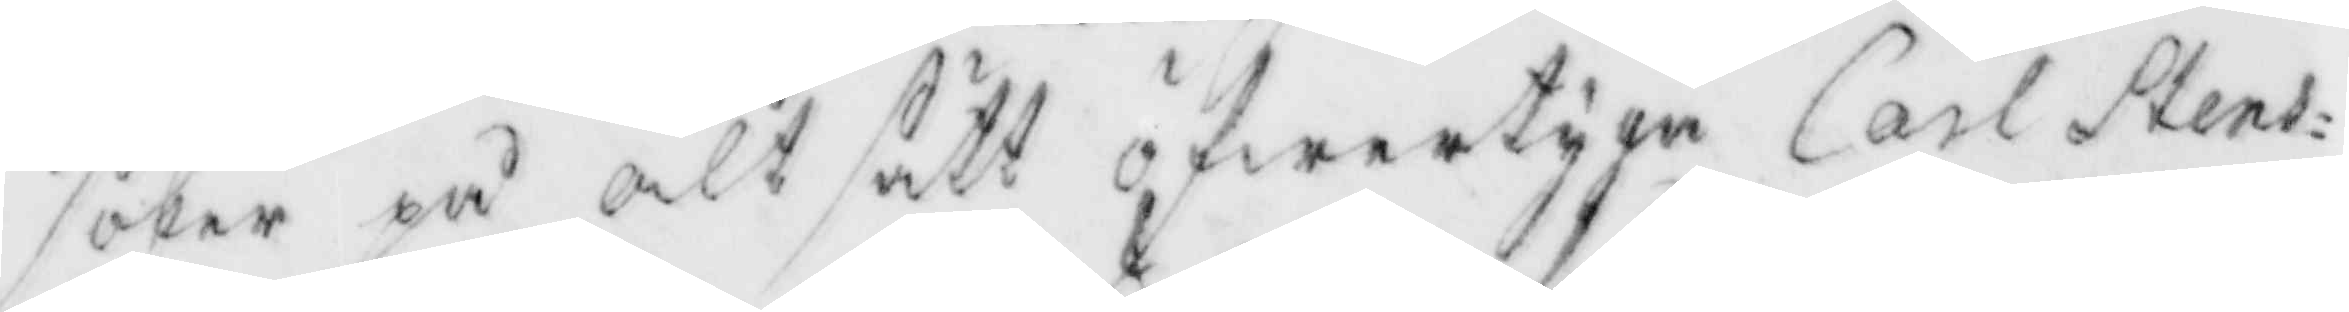söker på alt sätt öfwertyga Carl Stens¬
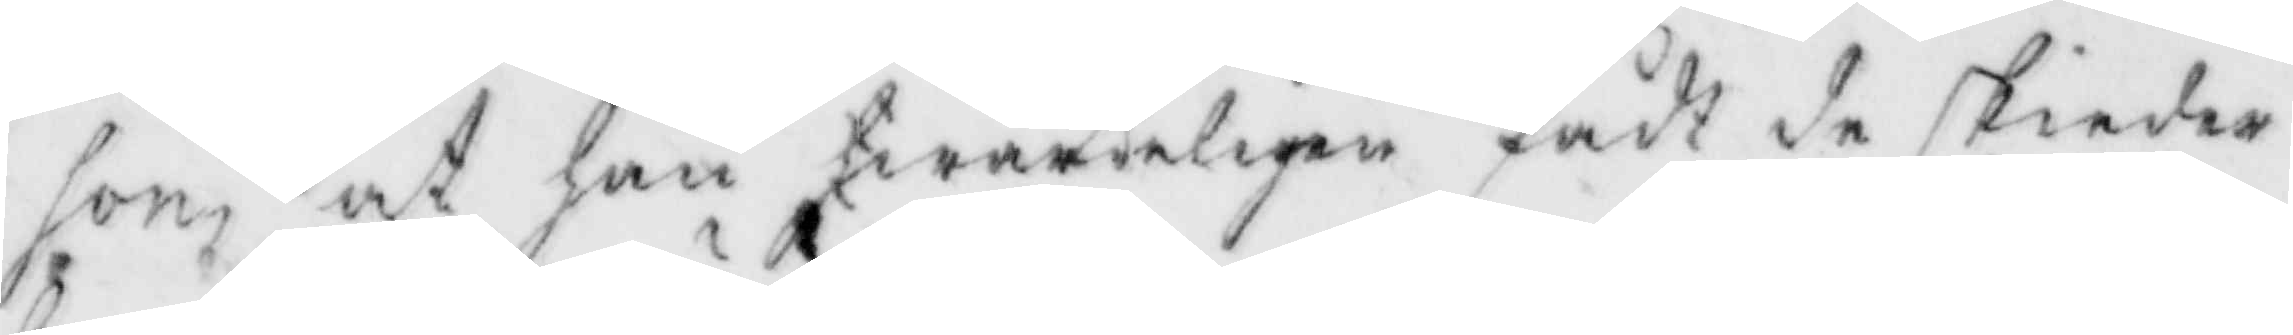son at han hwärkeligen fådt de skiedar
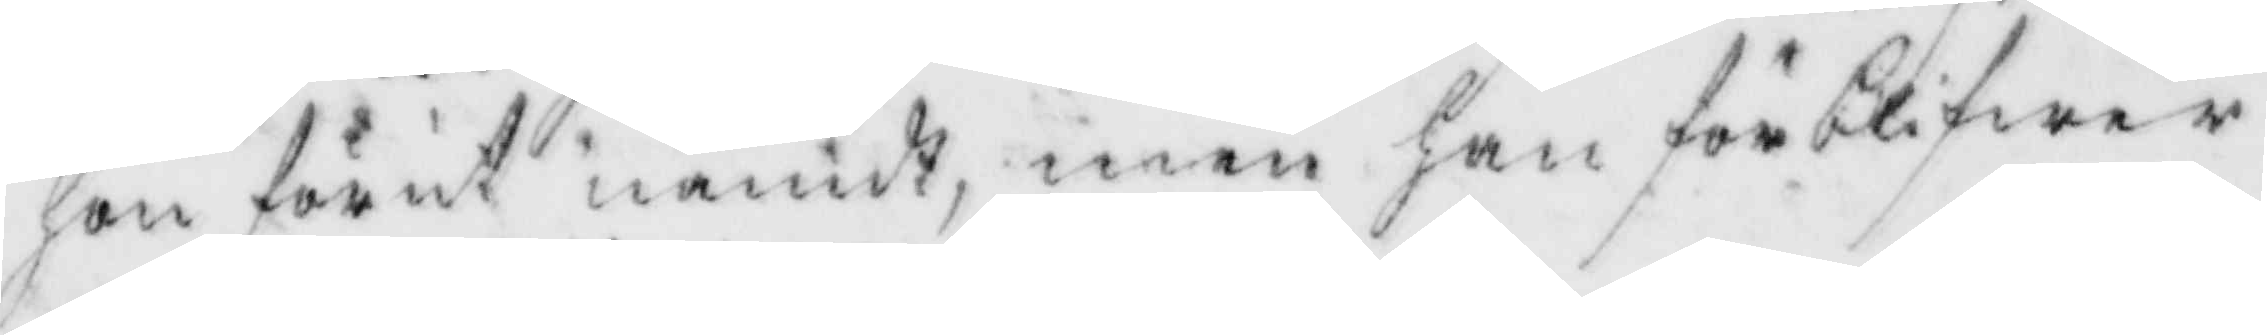hon förut nämdt, men han förblifwer
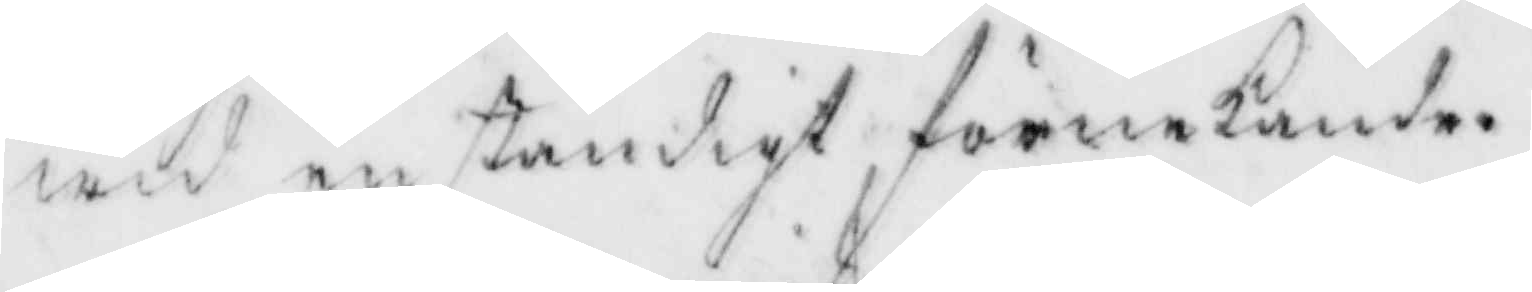wid anständigt förnekande.
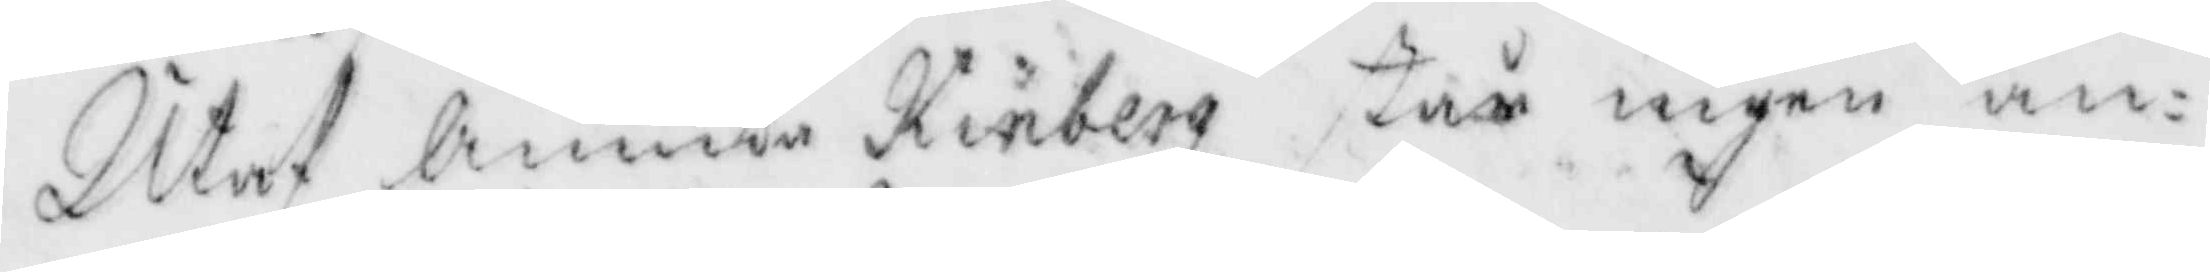Utaf Annika Kinberg står ingen an¬
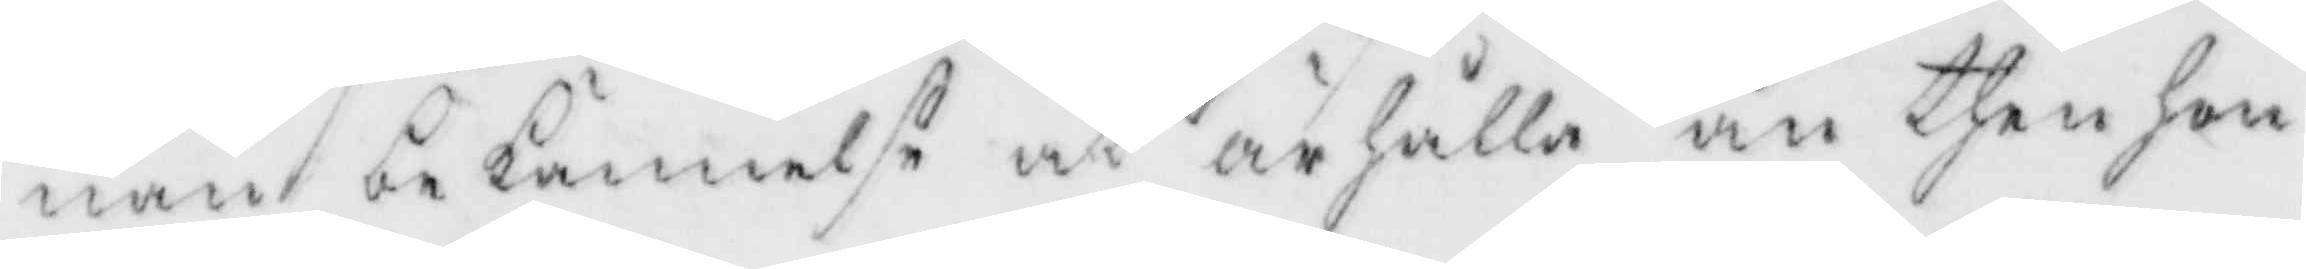nan bekännelse at ärhålla än then hon
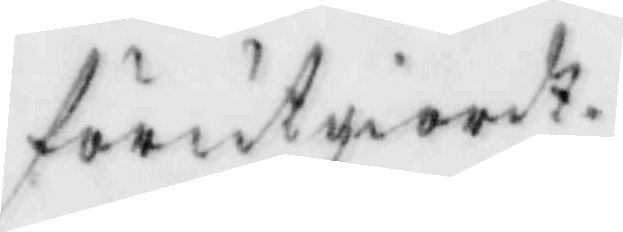förutgiordt.
